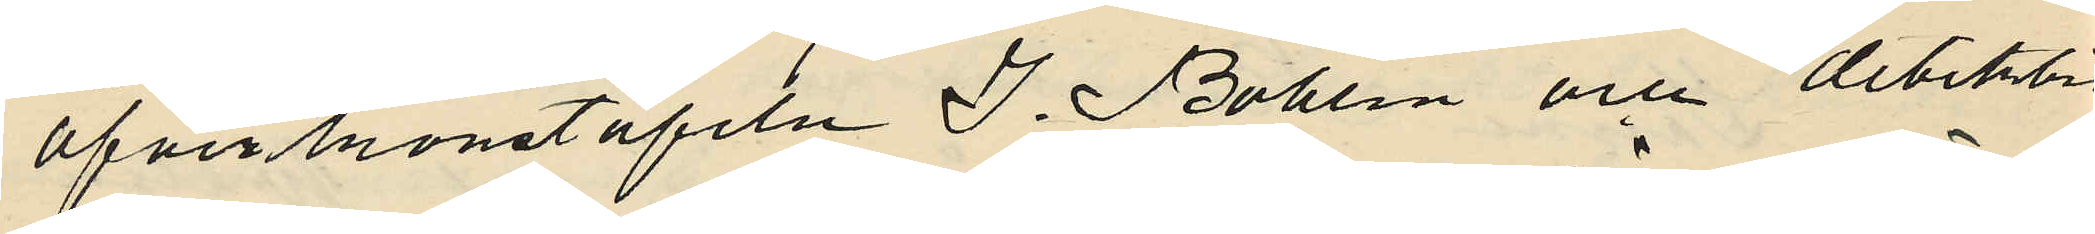öfverkonstapeln J. Bohlin och detektiv¬
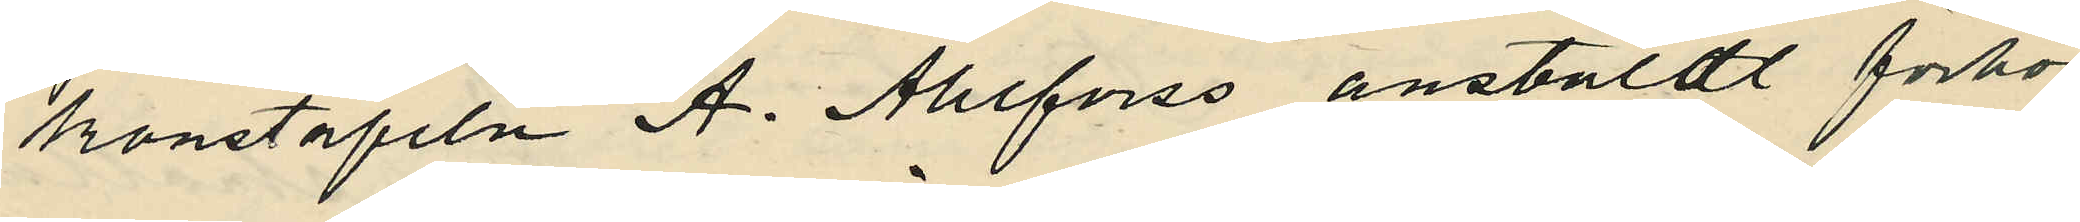konstapeln A. Ahlforss anstäldt förhör
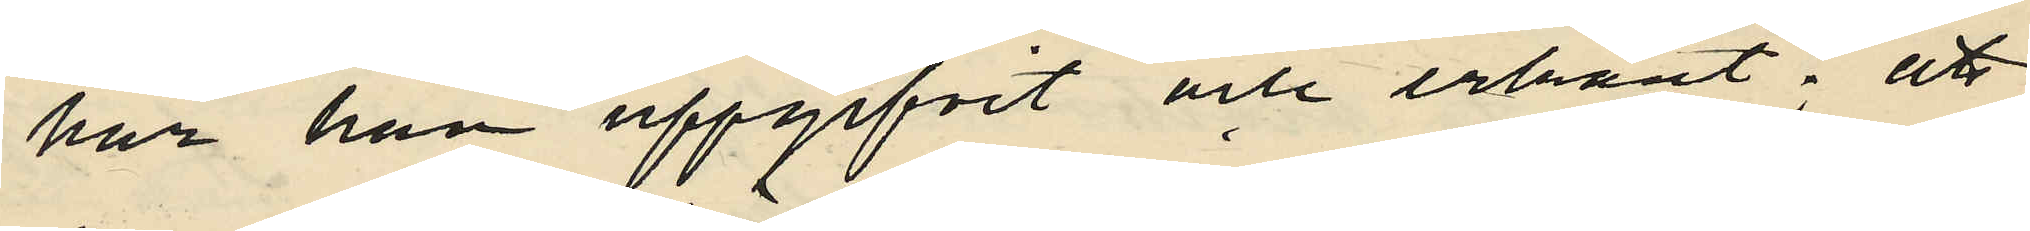har han uppgifvit och erkänt; att
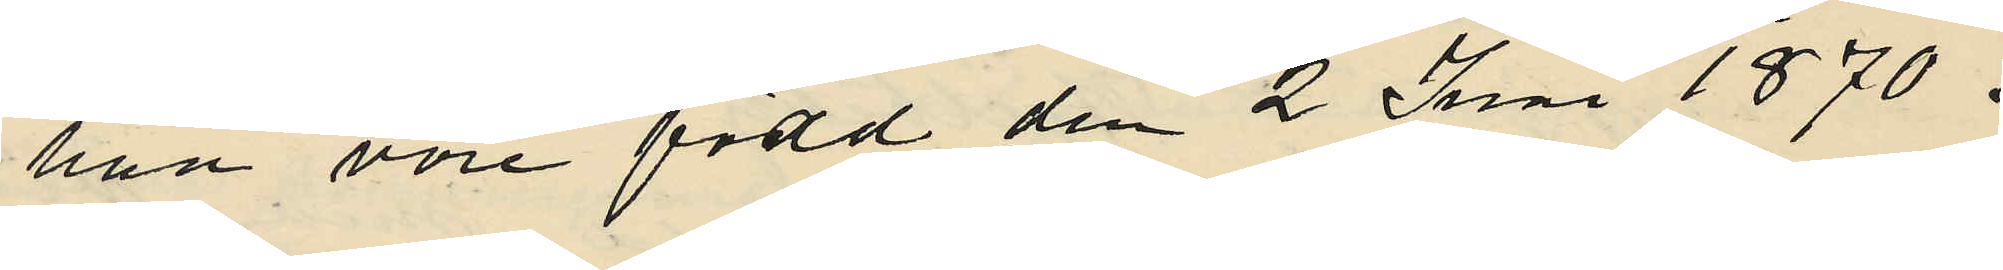han vore född den 2 Juni 1870 i
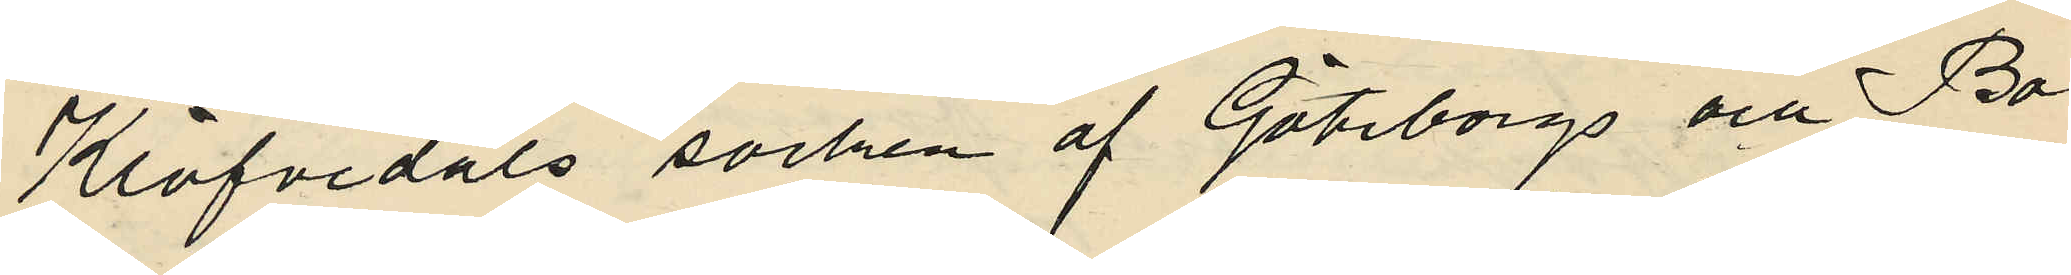Klöfvedals socken af Göteborgs och Bo¬
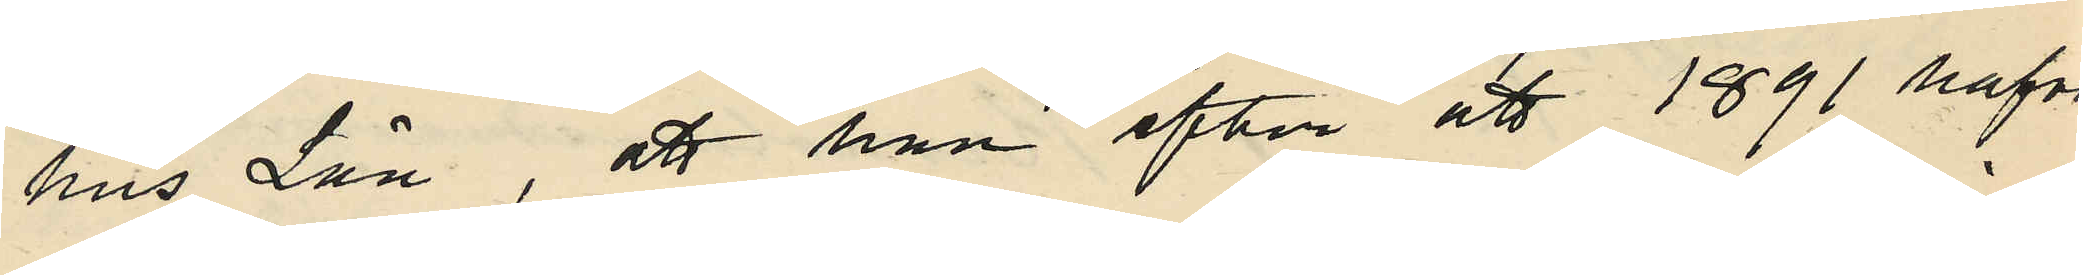hus Län, att han efter att 1891 hafva
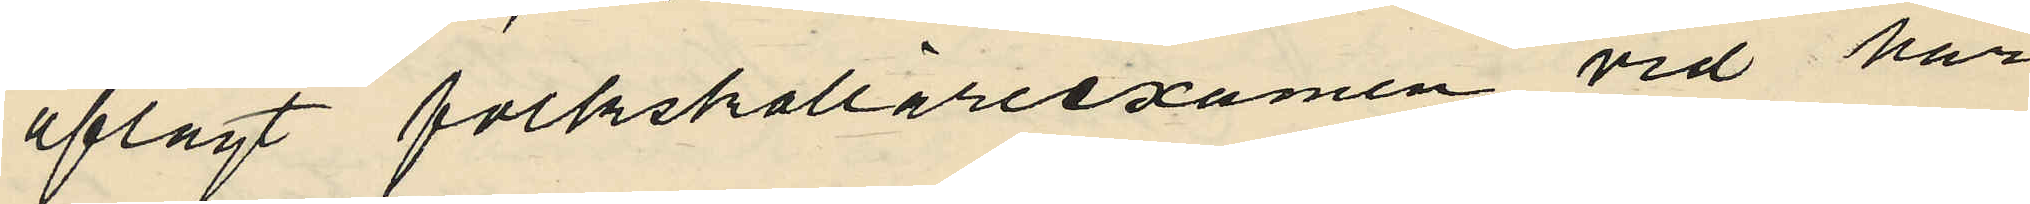aflagt folkskolläreexamen vid här¬
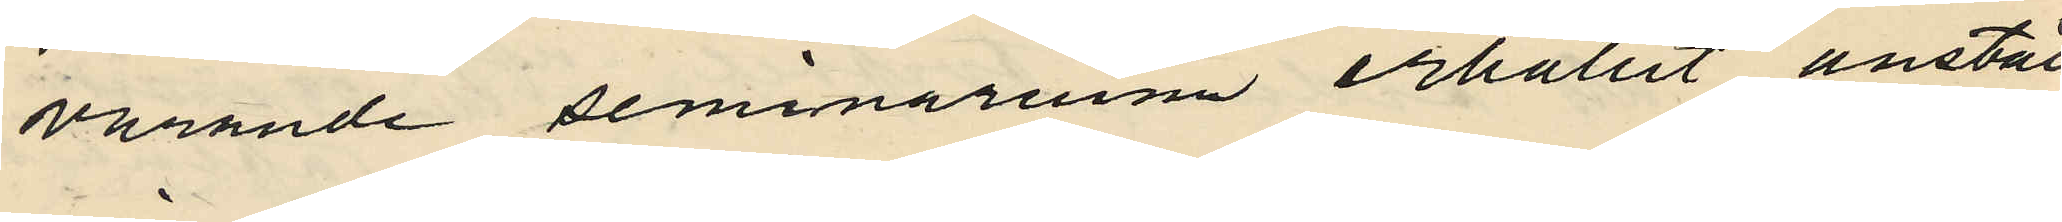varande seminarium erhållit anställ¬
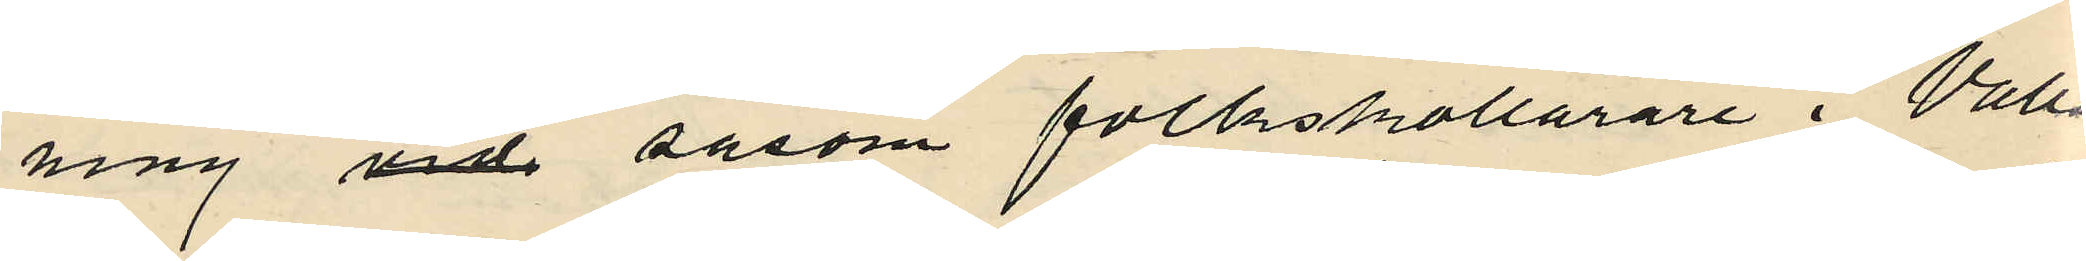ning vid såsom folkskollärare i Valla
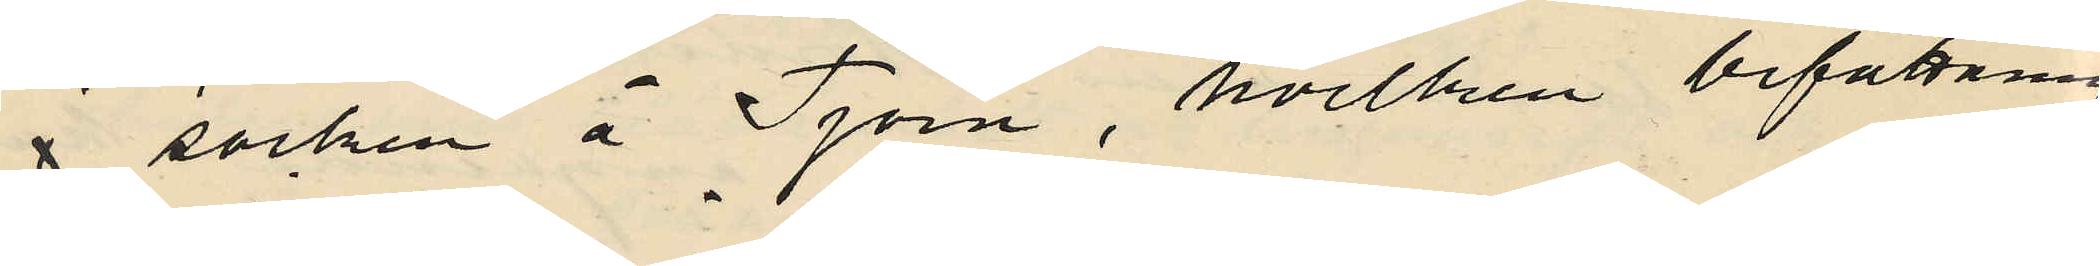i socken å Tjörn, hvilken befattning
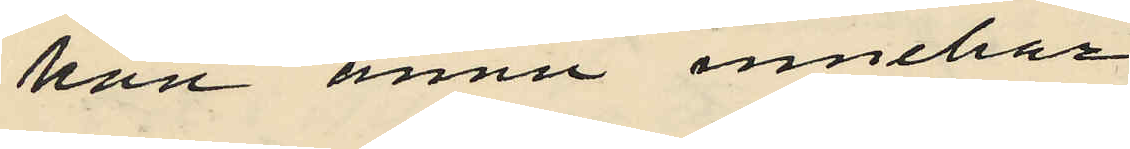han ännu innehar.
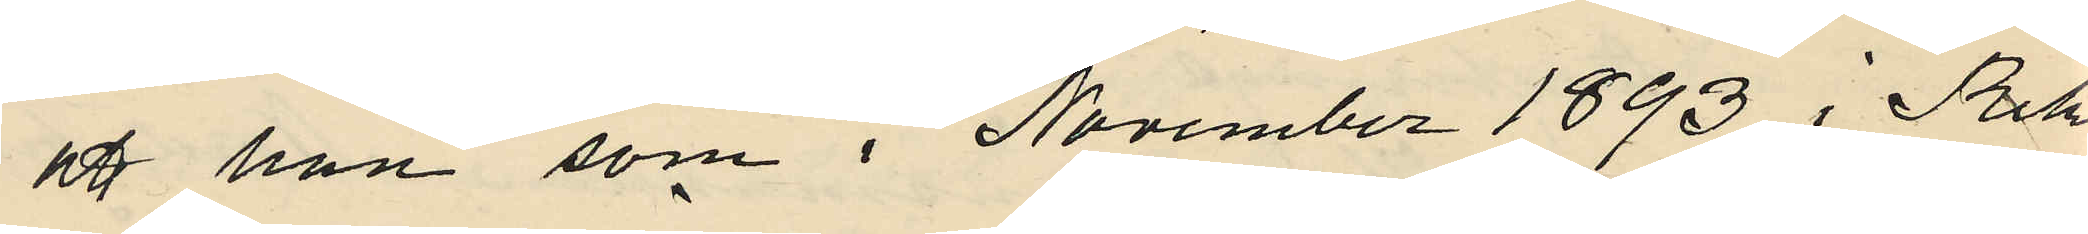att han som i November 1893 i Riks¬
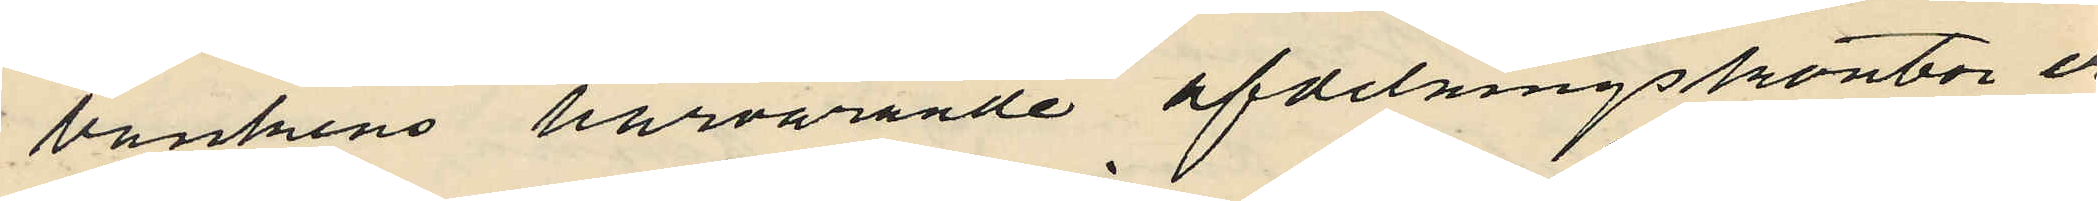bankens härvarande afdelningskontor er¬
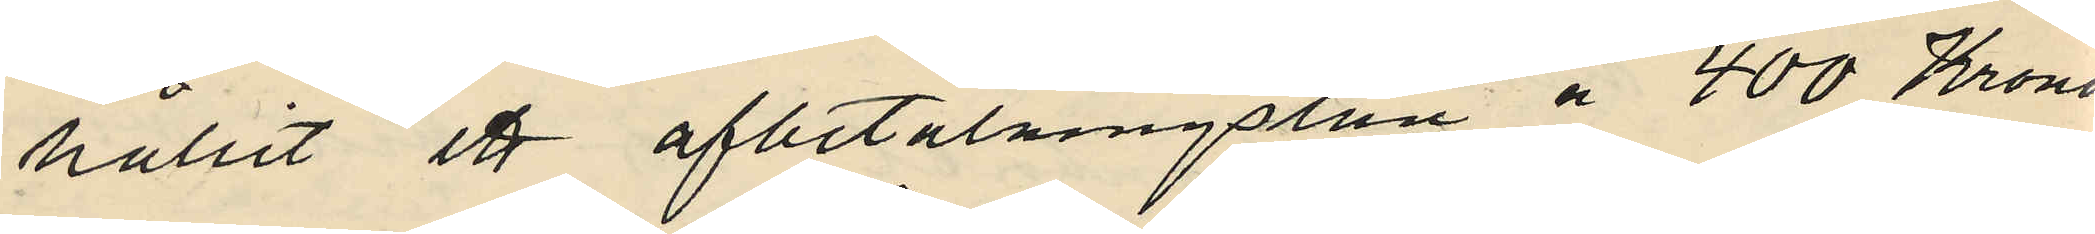hållit ett afbetalningslån å 400 Kronor
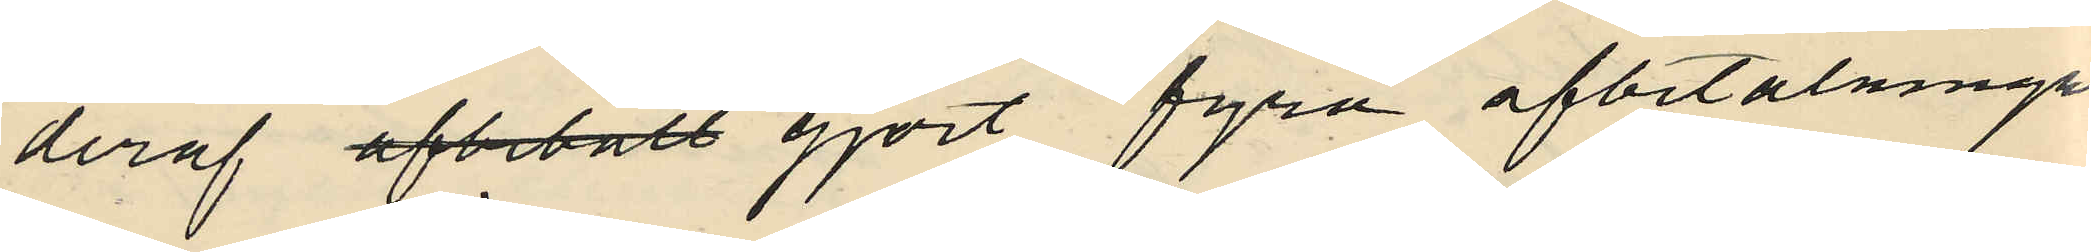deraf afbetalt gjort fyra afbetalningar
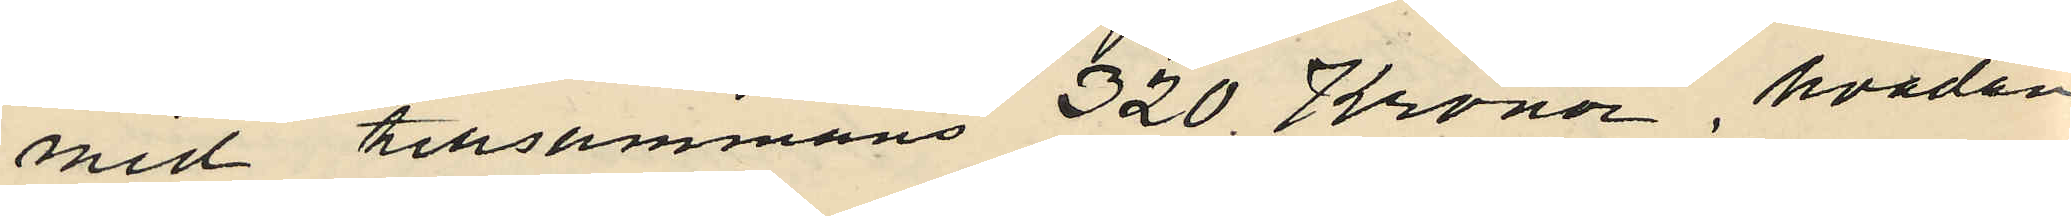med tillsammans 320 Kronor hvadan
